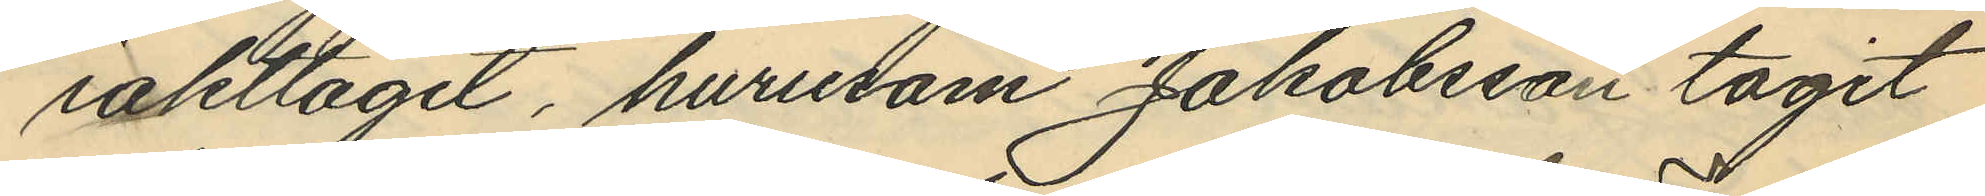iakttagit, hurusom Jakobsson tagit
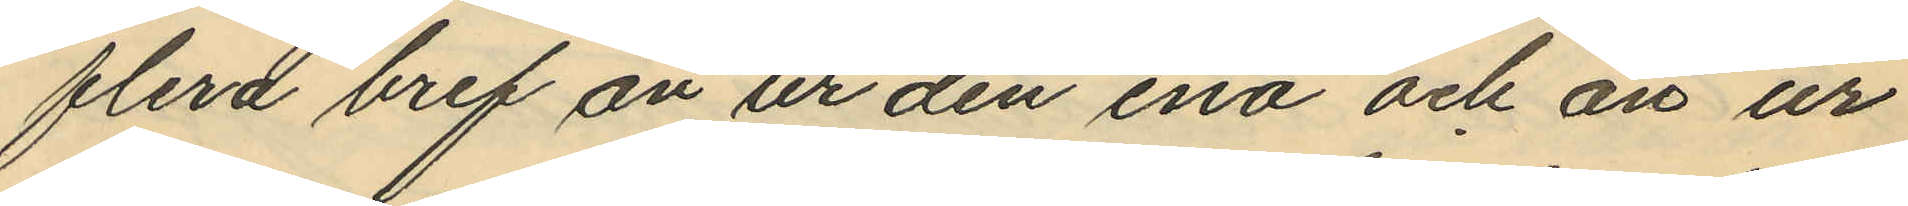flera bref än ur den ena och än ur
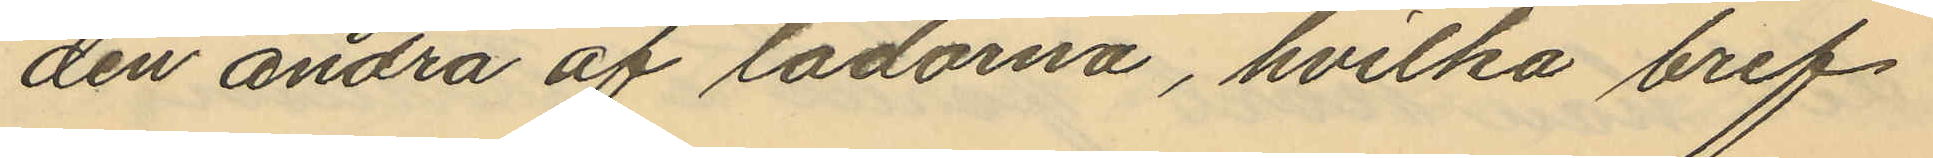den andra af lådorna, hvilka bref
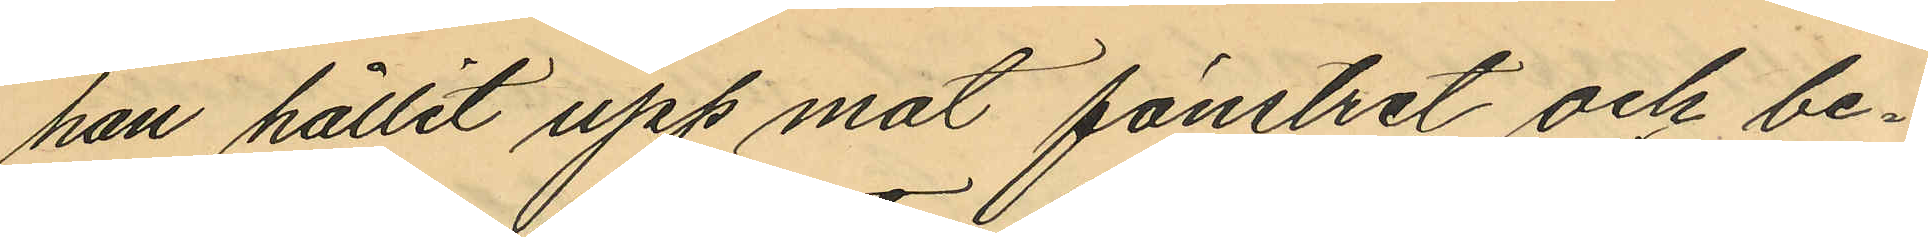han hållit upp mat fönstret och be¬
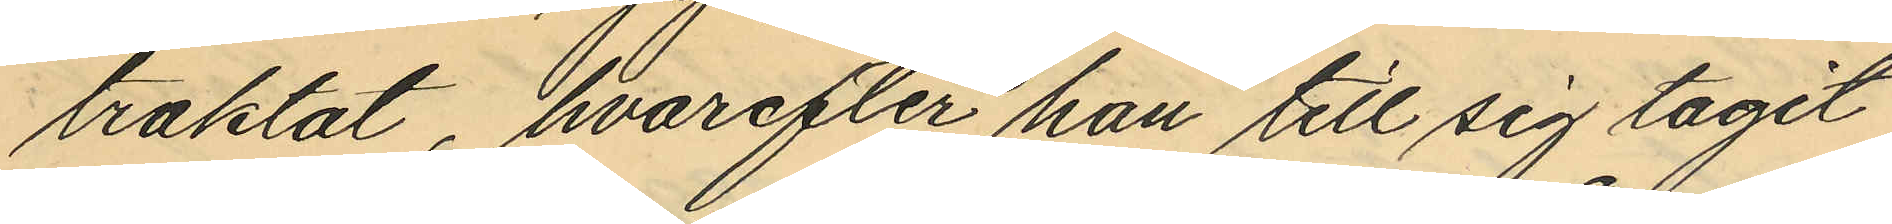traktat, hvarefter han till sig tagit
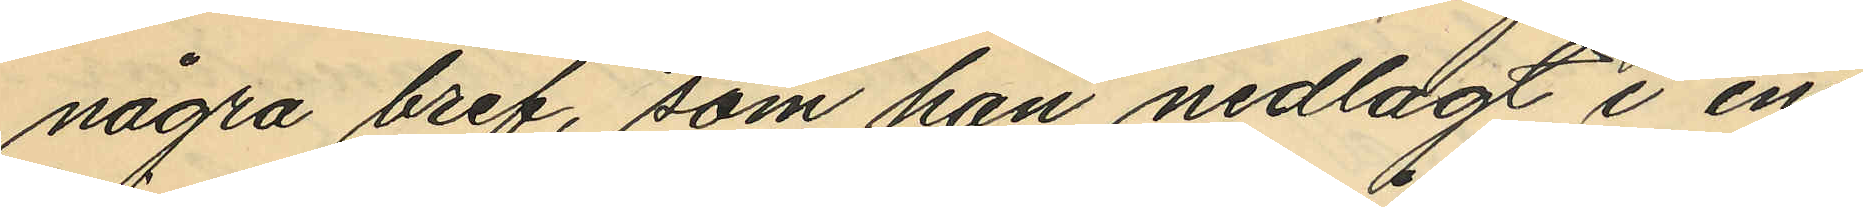några bref, som han nedlagt i en
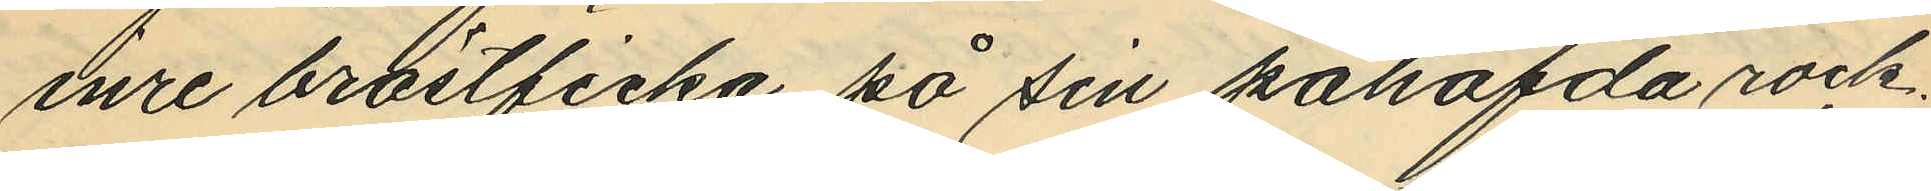inre bröstficka på sin påhafda rock,
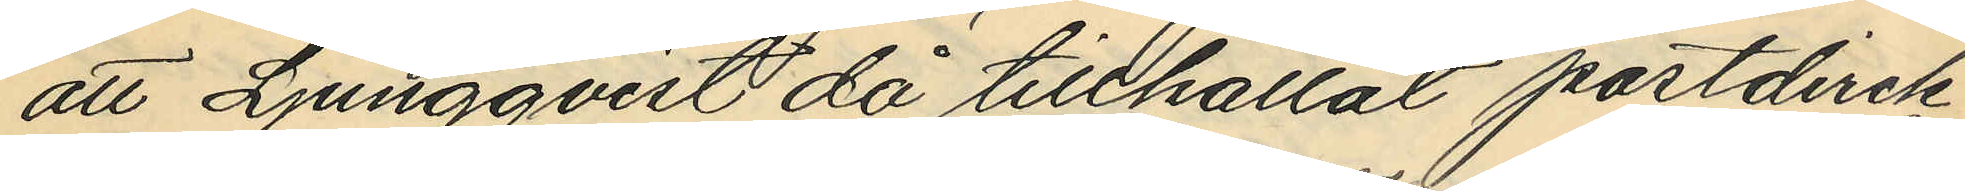att Ljungqvist då tillkallat postdirek¬
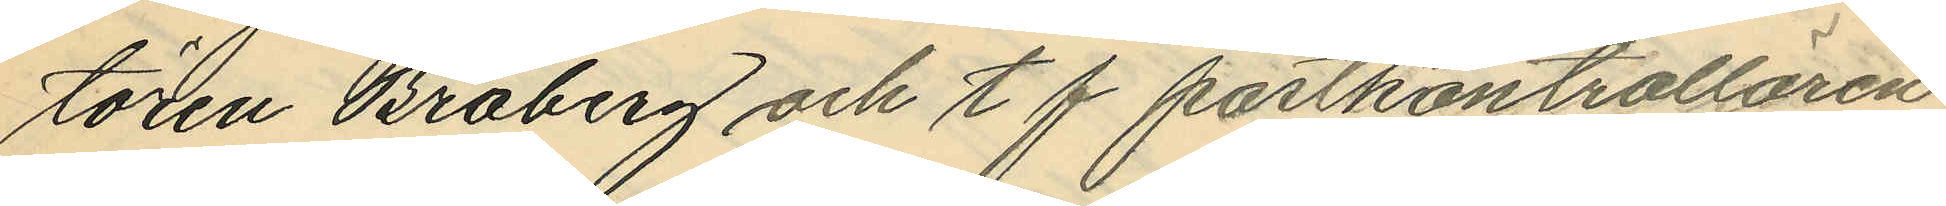tören Broberg och tf postkontrollören
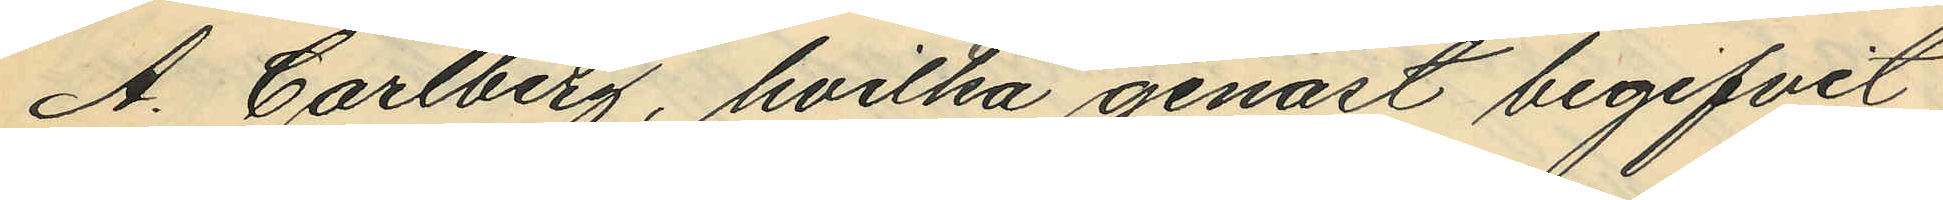A. Carlberg, hvilka genast begifvit
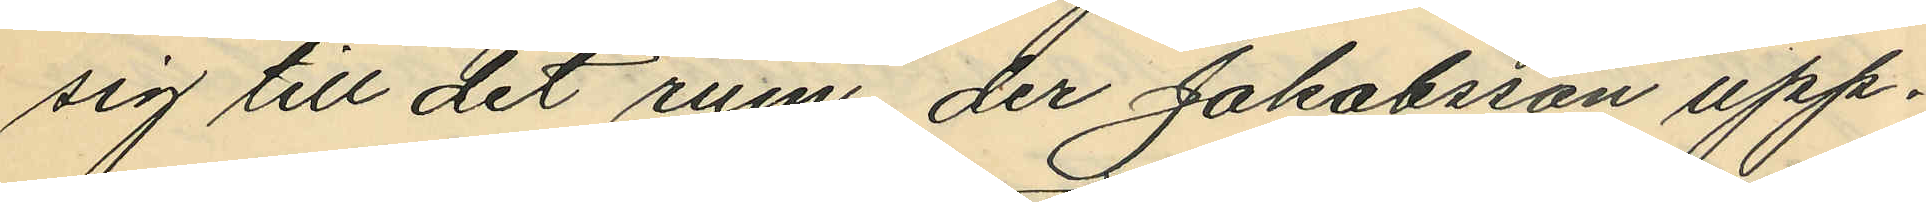sig till det rum, der Jakobsson upp¬
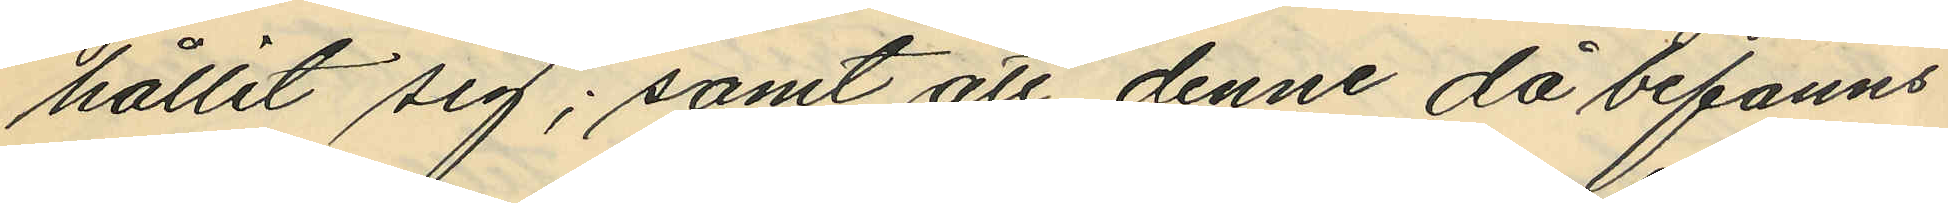hållit sig; samt att denne då befanns
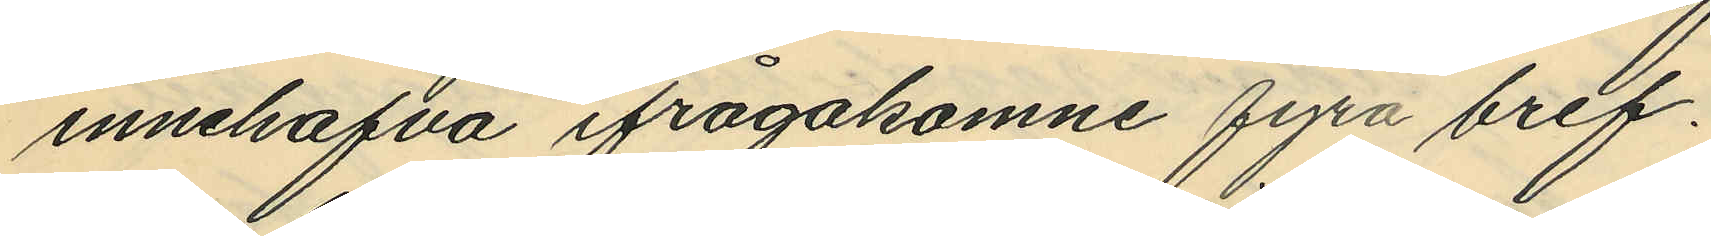innehafva ifrågakomne fyra bref.
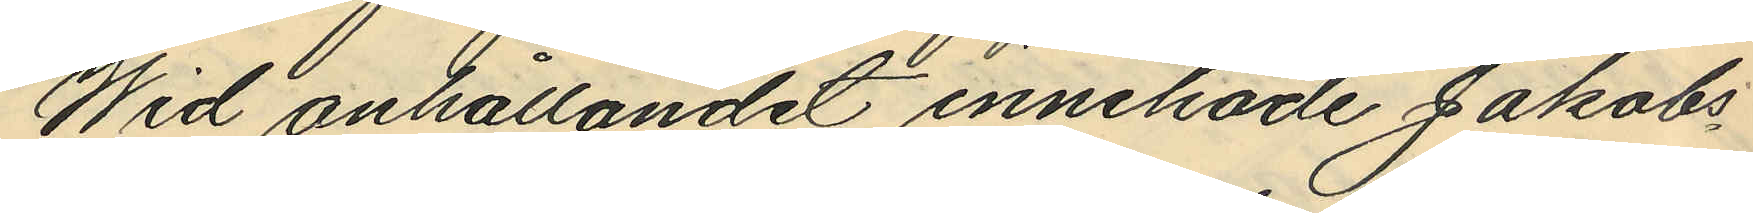Wid anhållandet innehade Jakobs¬
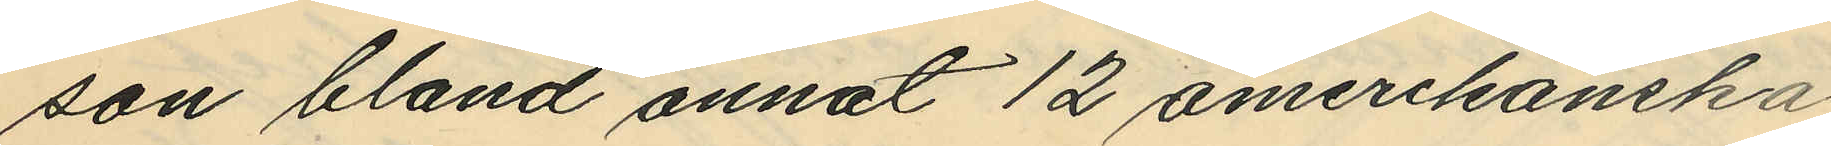son bland annat 12 amerikanska
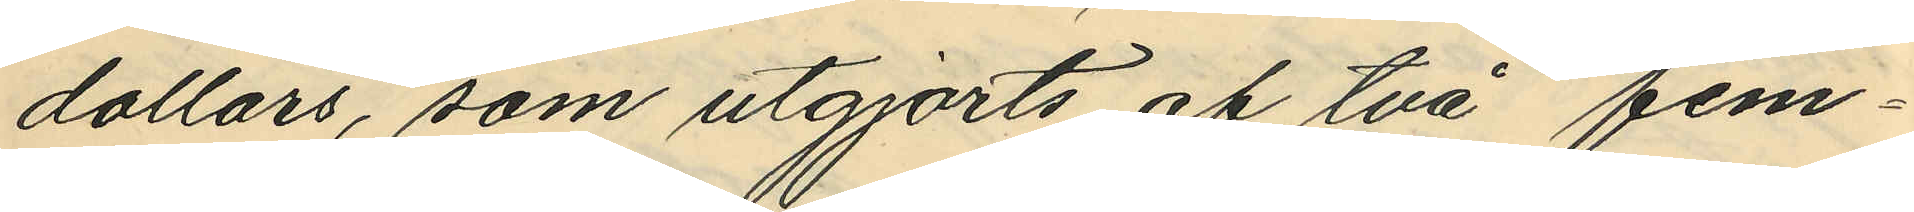dollars, som utgjorts af två fem¬
